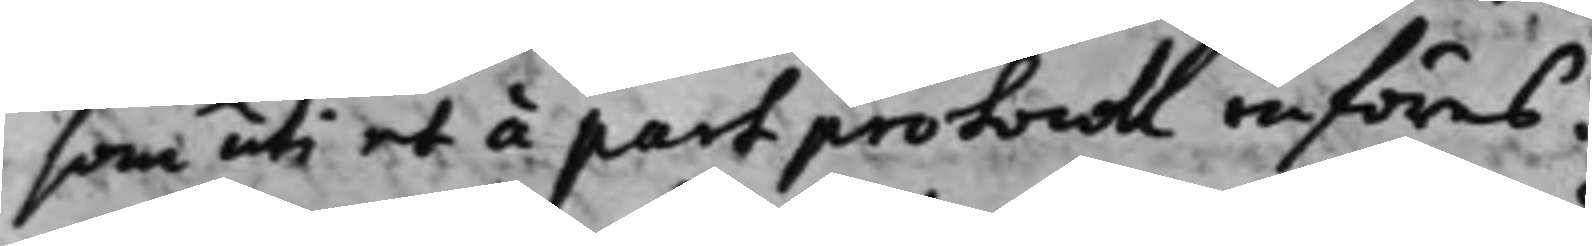som uti et á part protocoll införes.
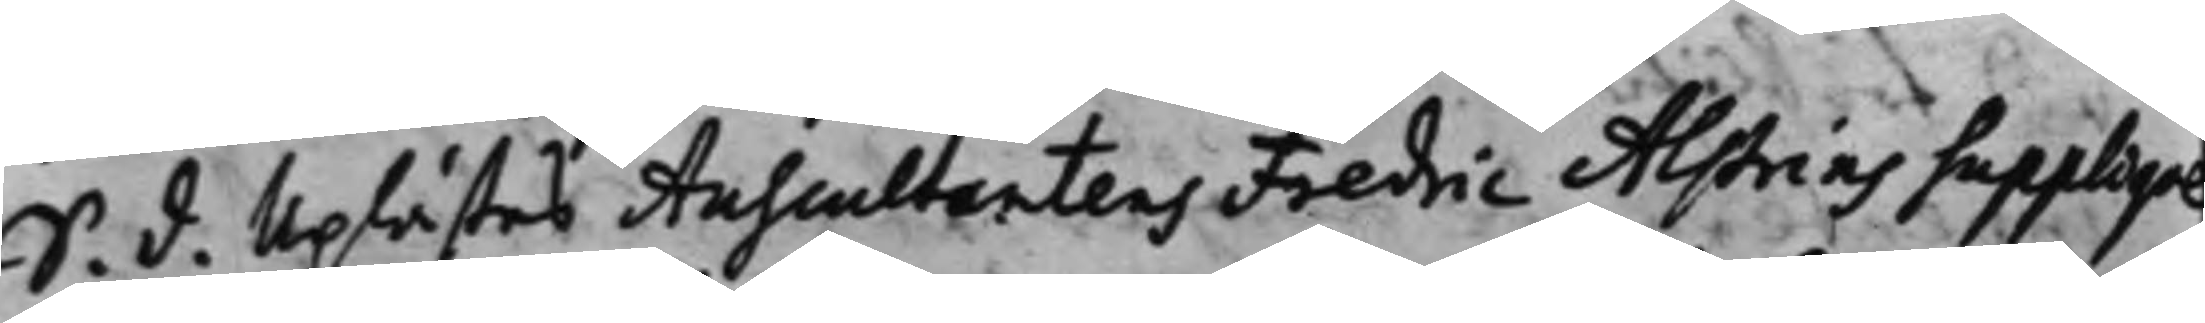S. d. Uplästes Auscultantens Fredric Alstrins Suppliqve
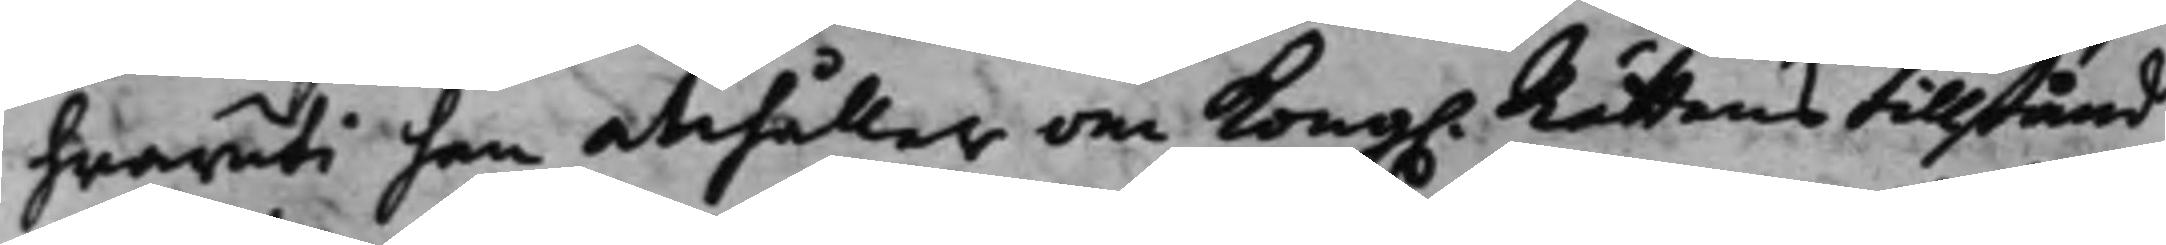hwaruti han anhåller om Kong. Rättens tillstånd
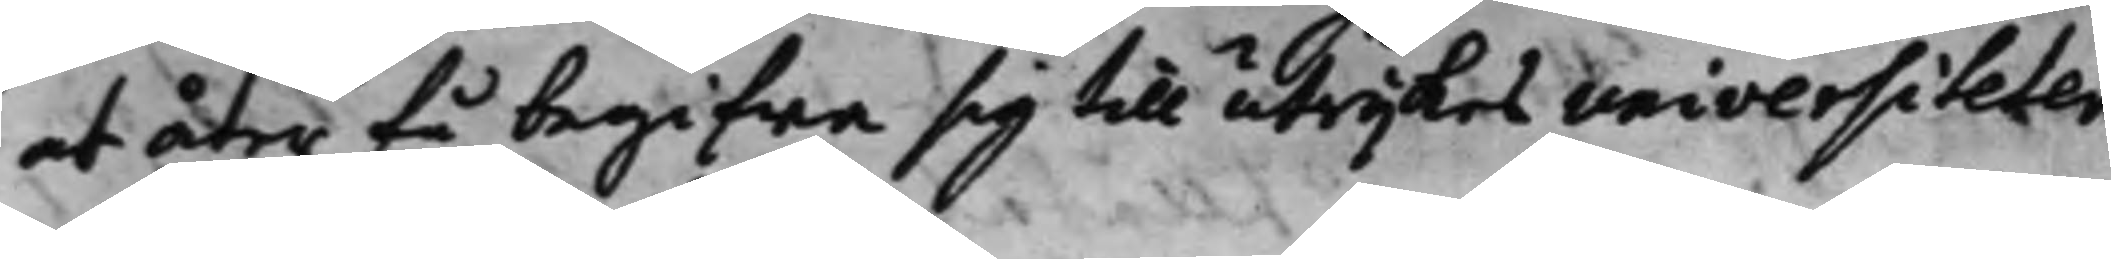at åter få begifwa sig till utrijkes universiteter
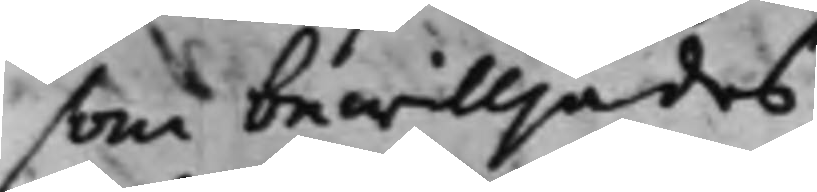som bewilljades
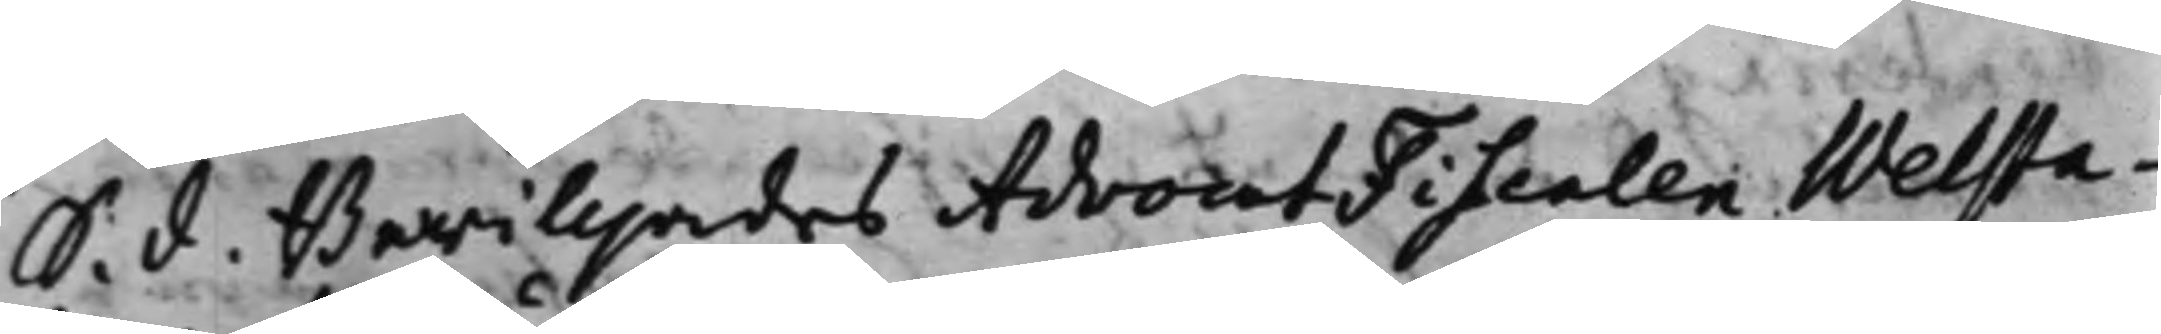S. d. Bewilljades AdvocatFiscalen Welsta¬
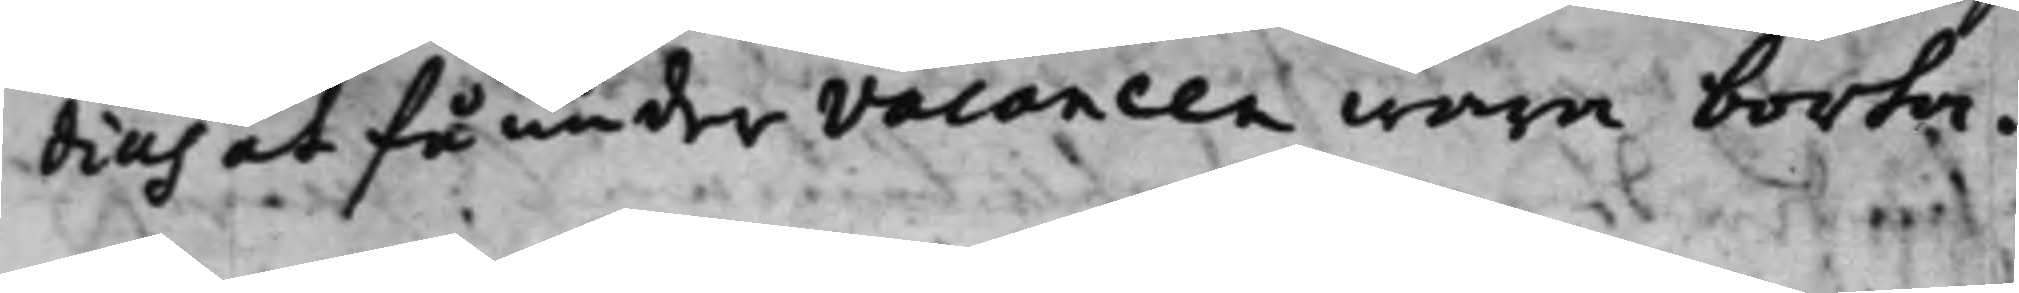dius at få under vacancen wara borta.
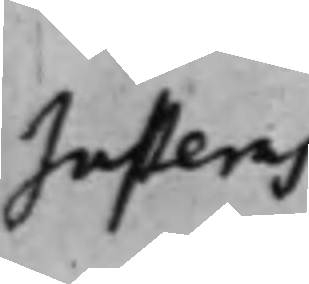Justeras
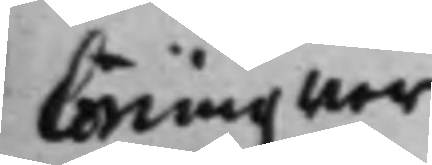Löningzwer¬
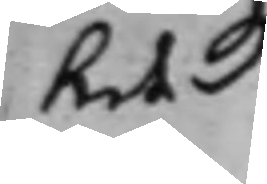ket
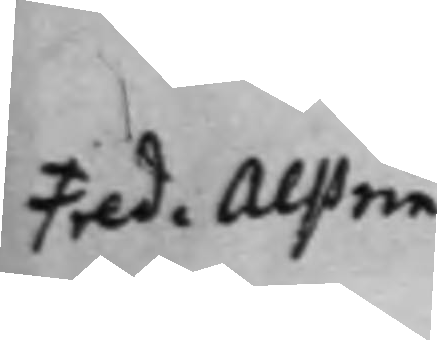Fred. Alstrin
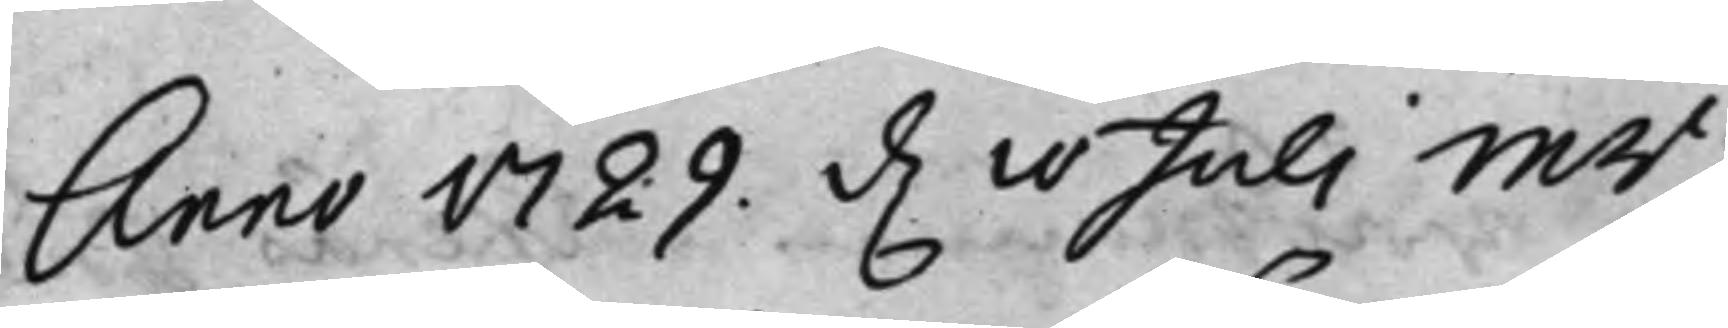Anno 1729. d. 10 Juli Mr.
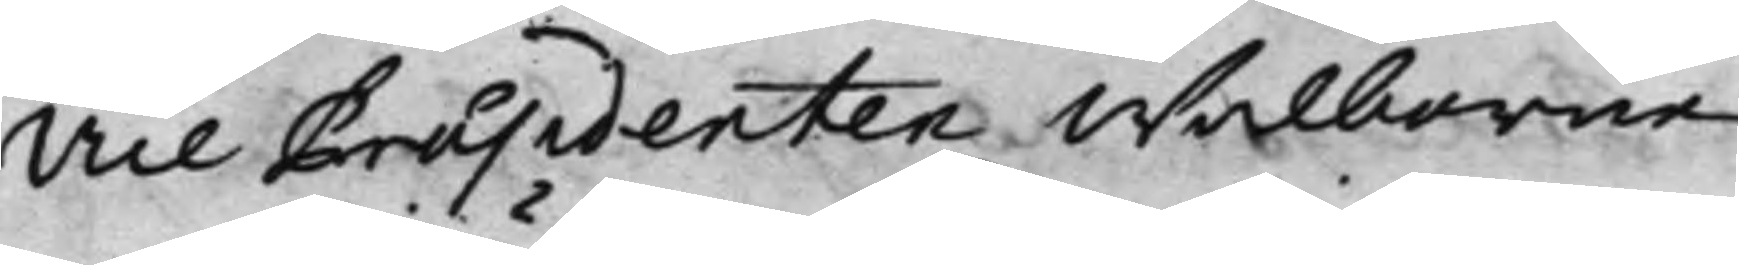Vice Praesidenten Wälborne
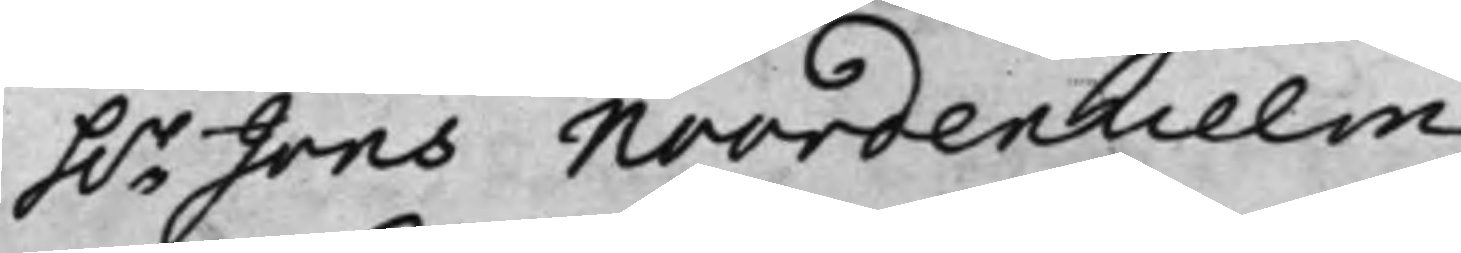h.r Jöns Noordenhielm
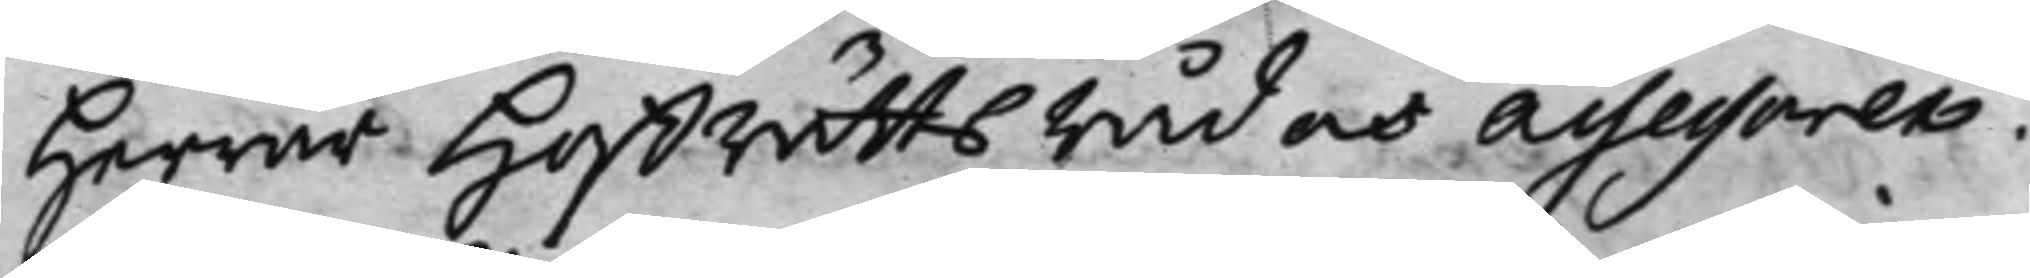Herrar Hoffrätts råd och Assessorer.
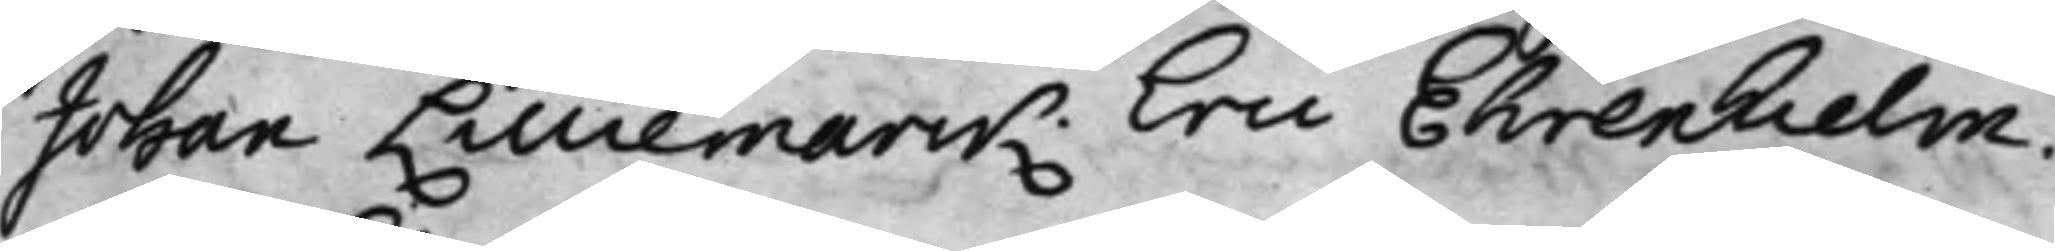Johan Lilliemarck. Eric Ehrenhielm.
